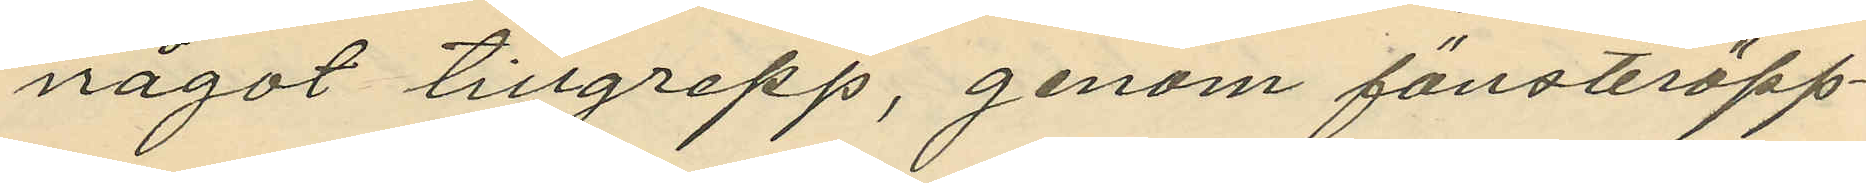något tillgrepp, genom fönsteröpp¬
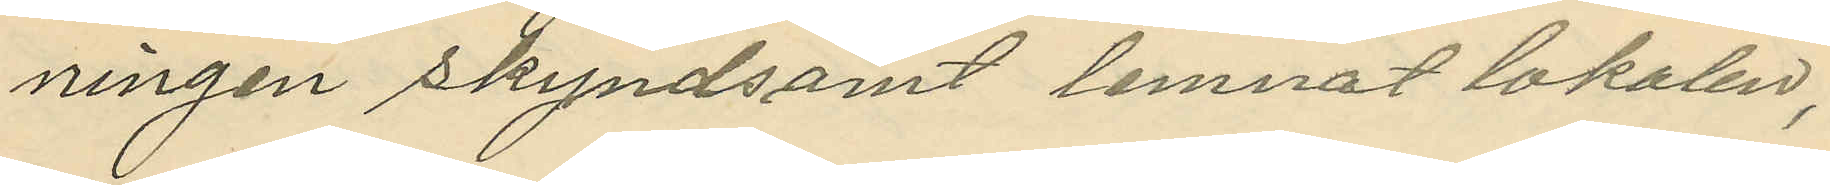ningen skyndsamt lemnat lokalen;
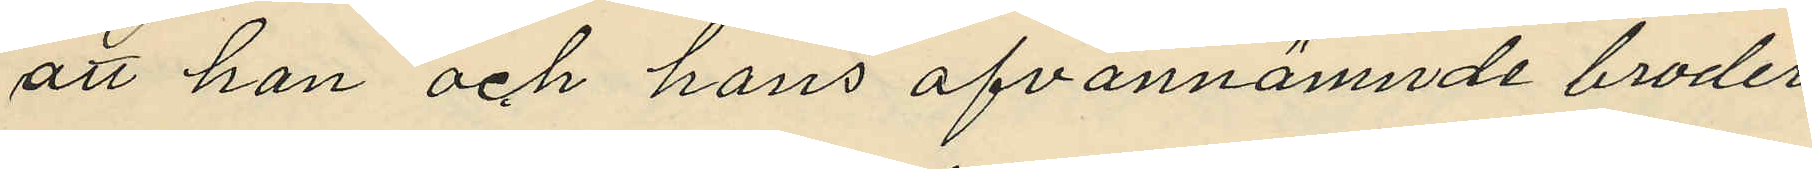att han och hans ofvannämnde broder
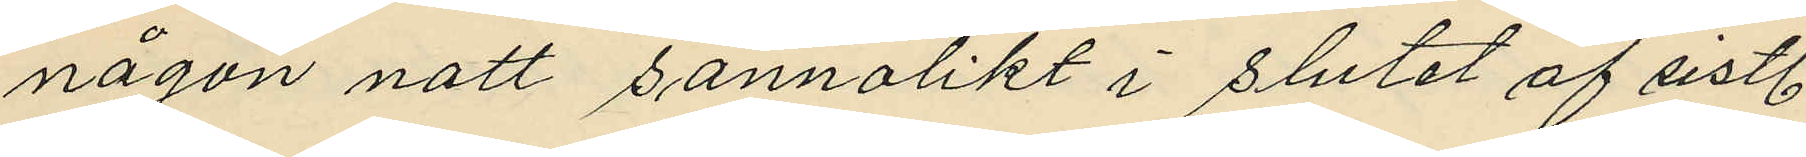någon natt sannolikt i slutet af sistl.
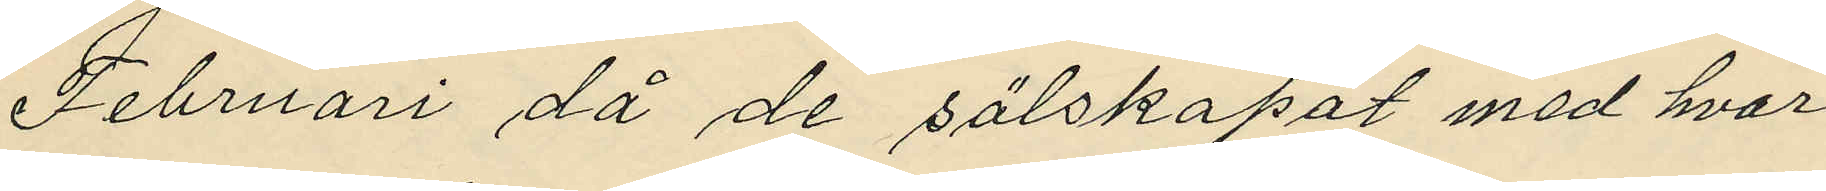Februari då de sälskapat med hvar¬
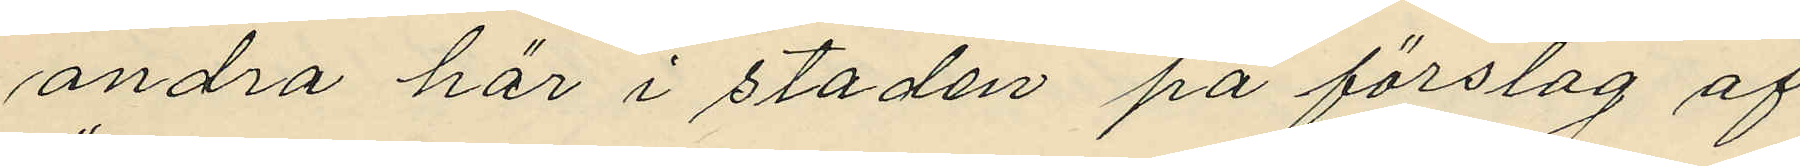andra här i staden på förslag af
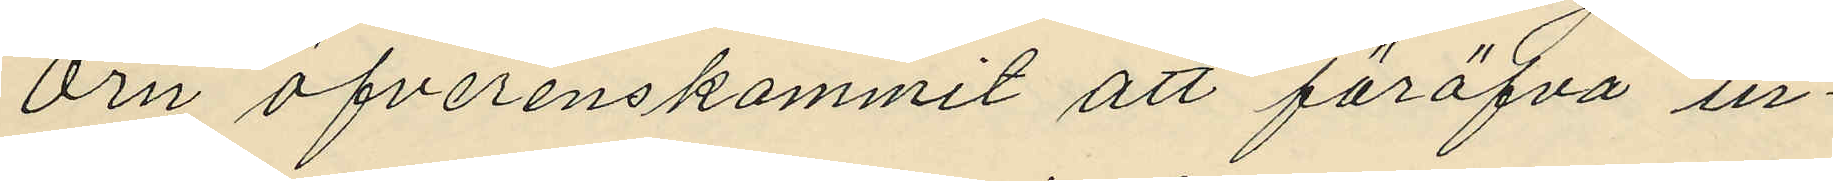Örn öfverenskommit att föröfva in¬
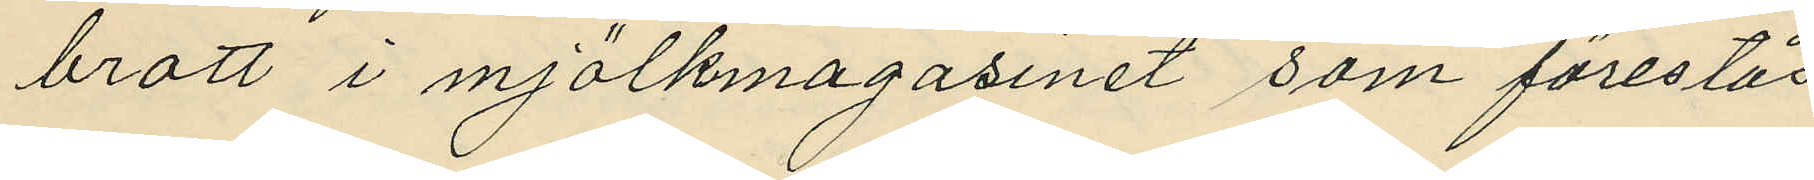brott i mjölkmagasinet som förestås
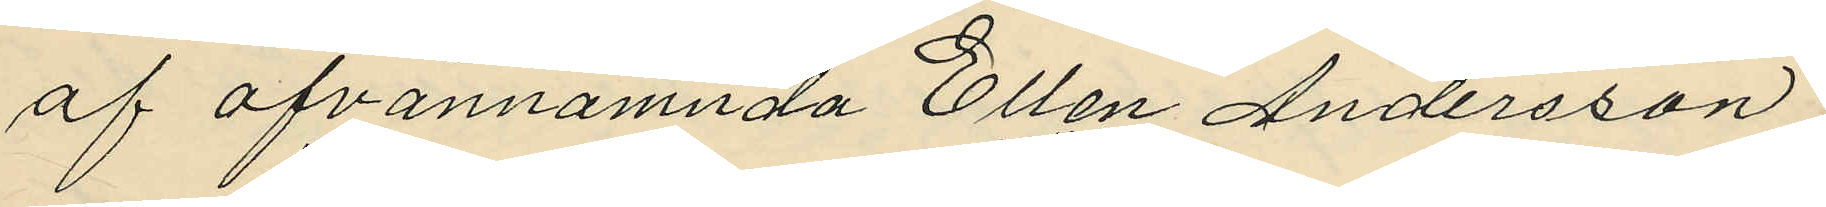af ofvannamnda Ellen Andersson;
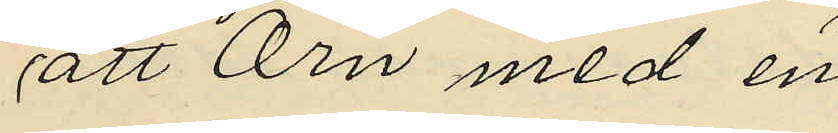att Örn med en
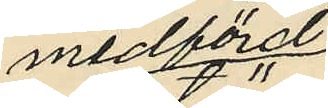medförd
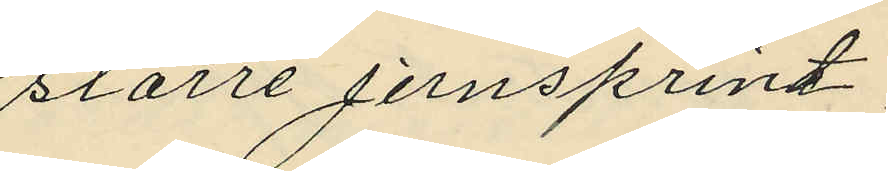större jernsprint,
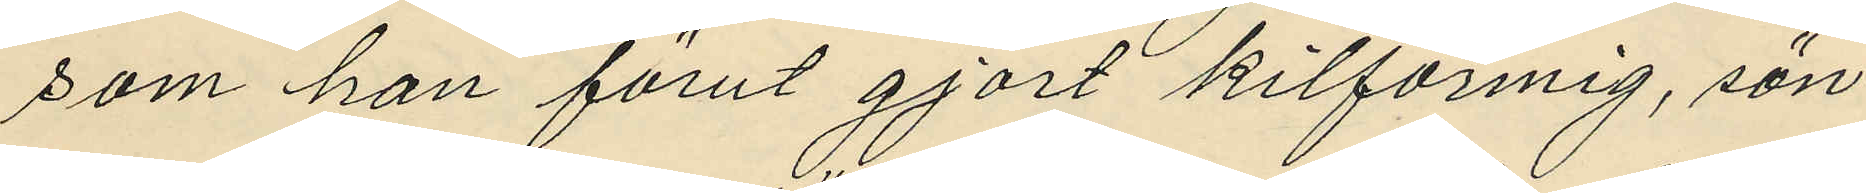som han förut gjort kilformig, sön¬
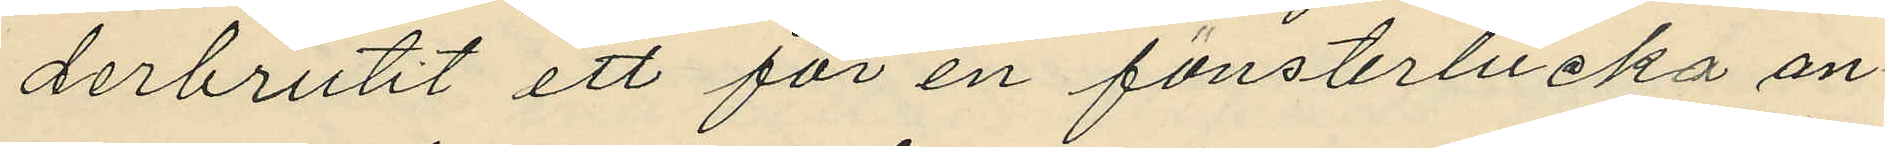derbrutit ett för en fönsterlucka an¬
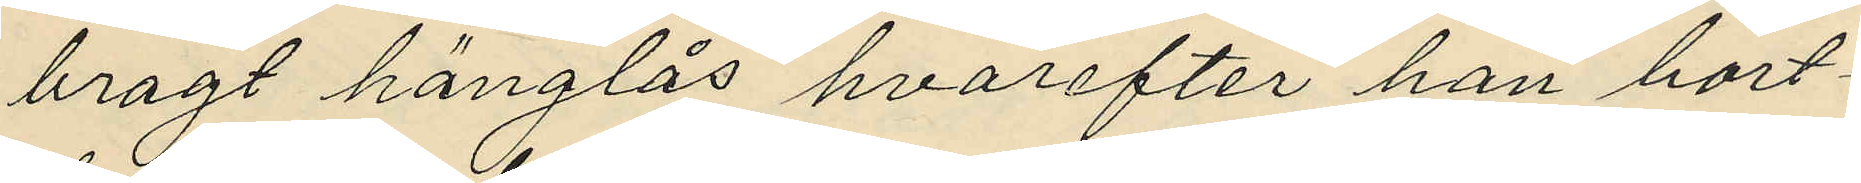bragt hänglås hvarefter han bort¬
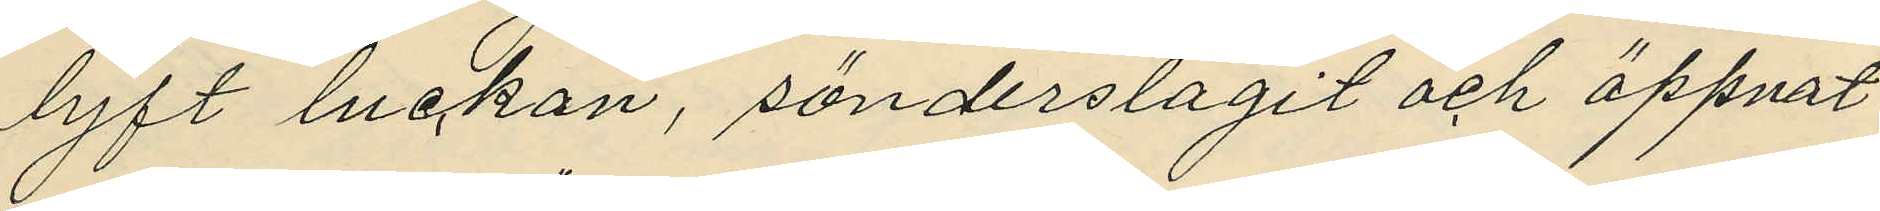lyft luckan, sönderslagit och öppnat
